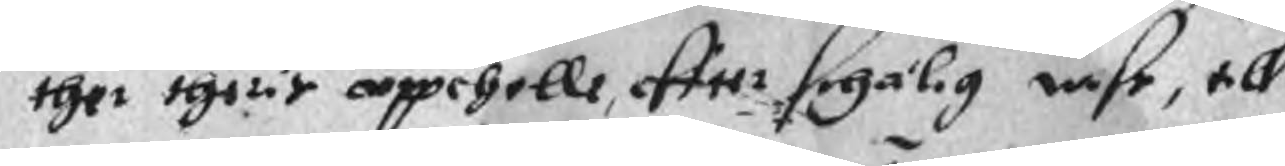ther theris uppehelle, effter schälig wise, till
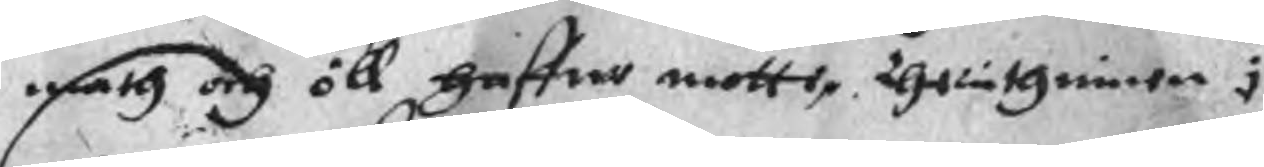math och öll haffwe motte. Therutguiwe i 
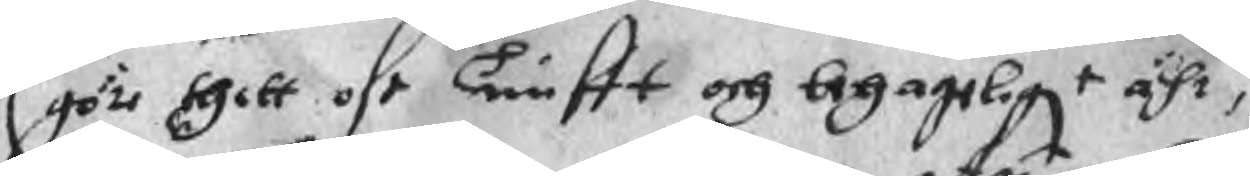göre thitt oss Tienstt och behageligt ähr,
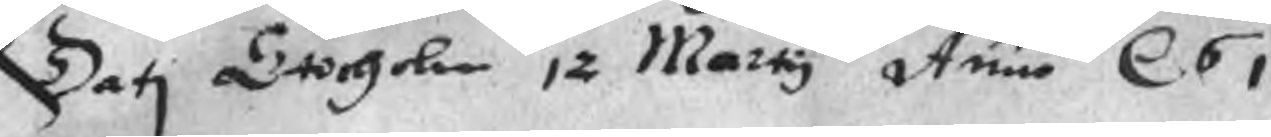Dati Stocholm 12 Marty Anno r 61
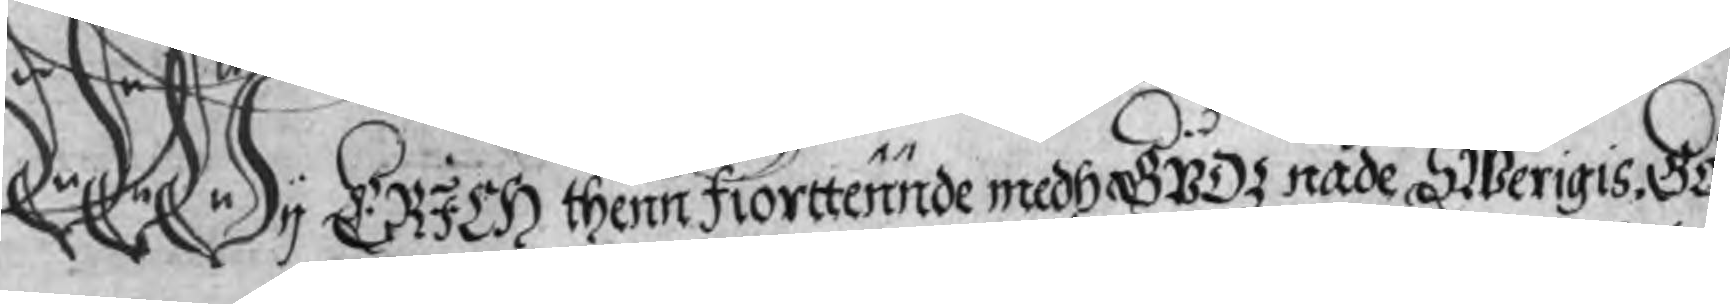Wy Erich thenn fiorttennde medh Gudz nåde SWerigis. Gö¬
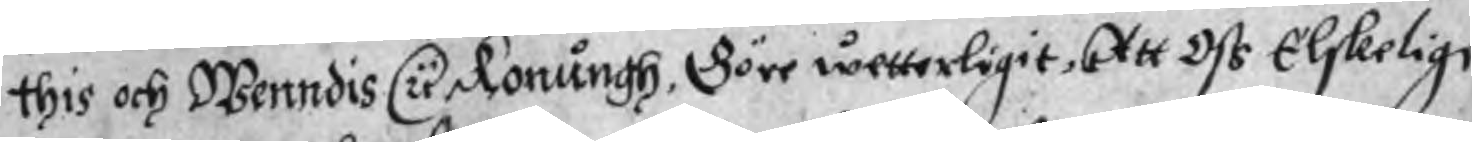this och Wenndis u Konungh, Göre wetterligit, att Oss Elskeelige
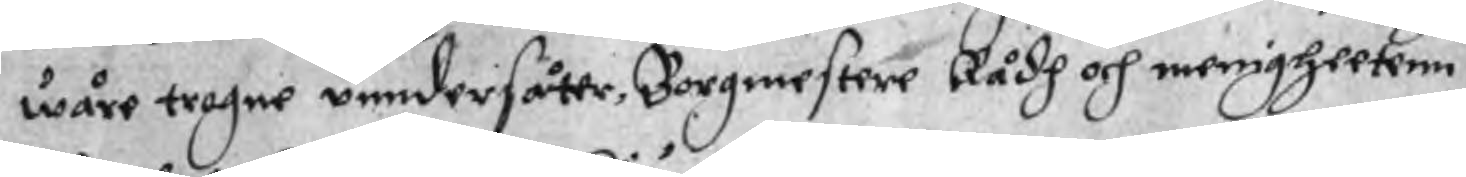wåre trogne unndersåter, Borgmestere Rådh och menigheeten
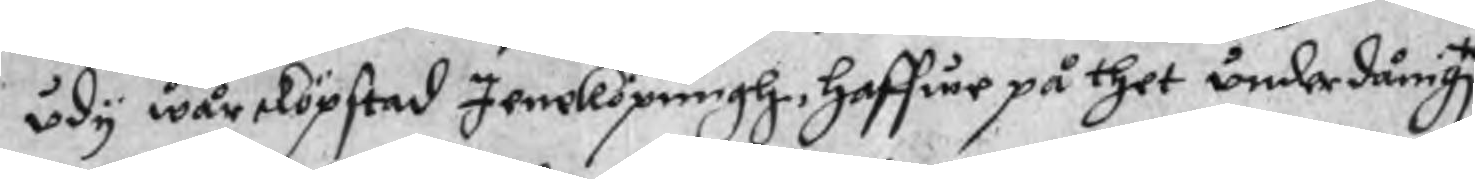udy wår sköpstad Jeneköpungh, haffwe på thet underdånigte
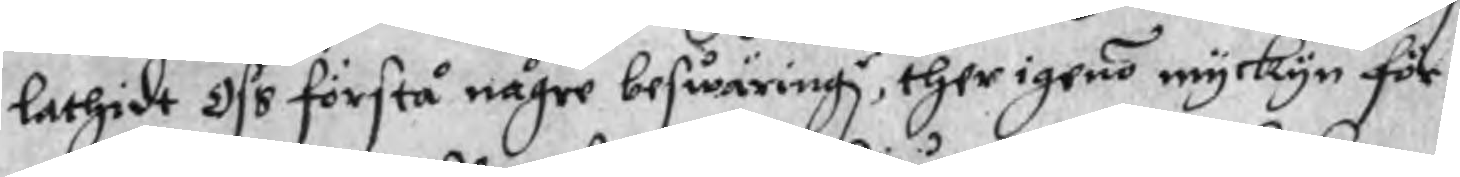lathidt oss förstå någre beswäringr, ther igeno myckyn för¬
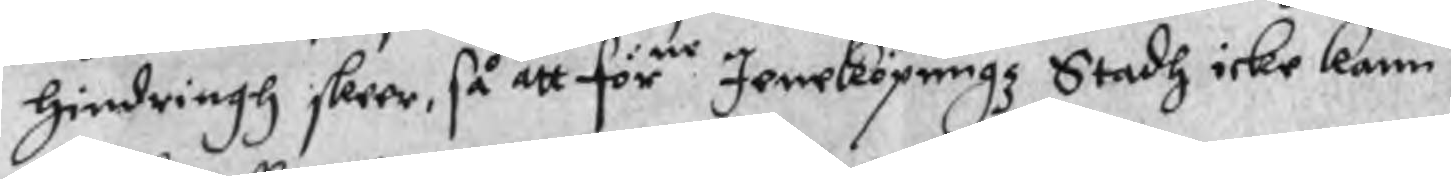hindringh skeer, så att för Jeneköpungz Stadh icke kann
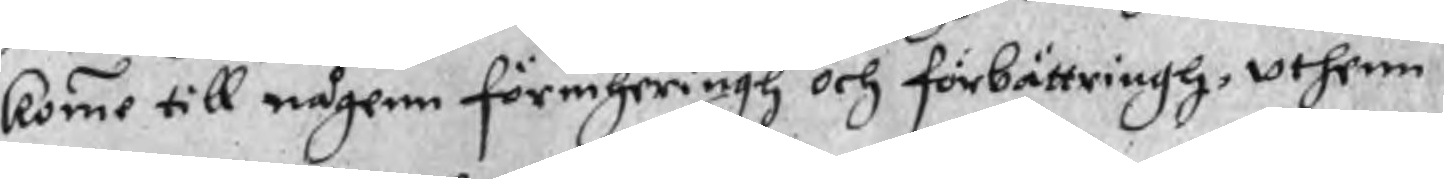komme till någenn förmheringh och förbättringh, uthenn
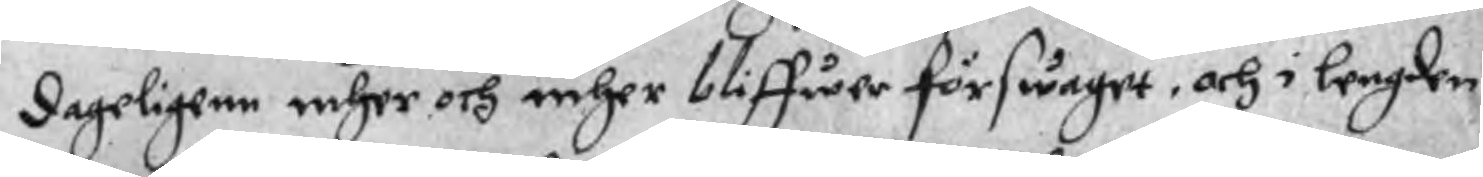dagelighen mher och mher bliffwer förswaget, och i lengden
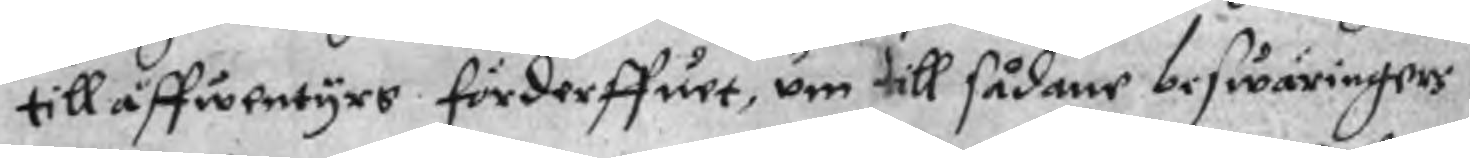till åffwentyrs förderffuet, um till sådane beswäringers
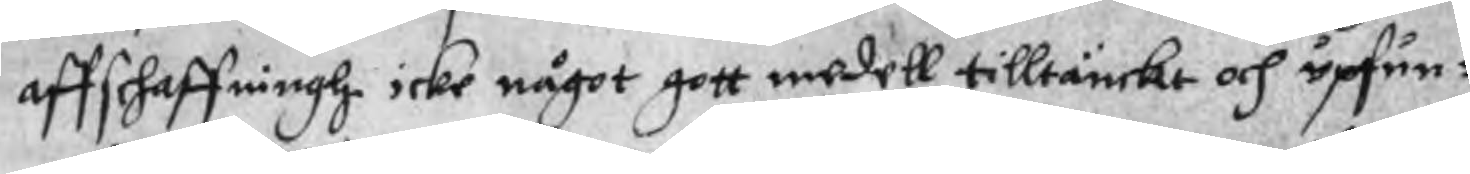affschaffningh icke något gott medell tilltänckt och upfun¬
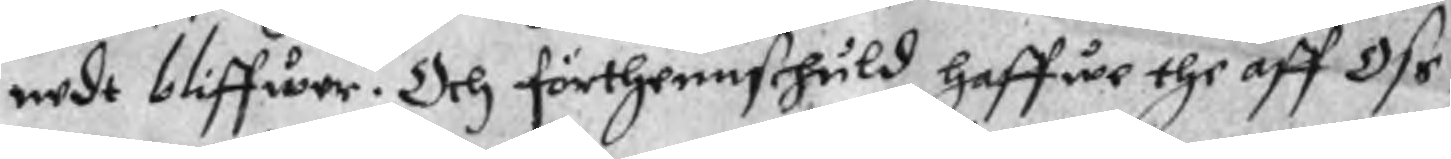nedt bliffwer. Och förthennschuld haffwe the aff Oss
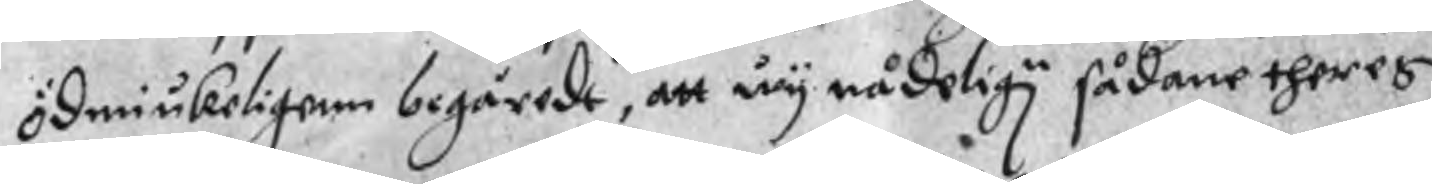ödmiukerligenn begäredt, att wy nådelign sådane theres
